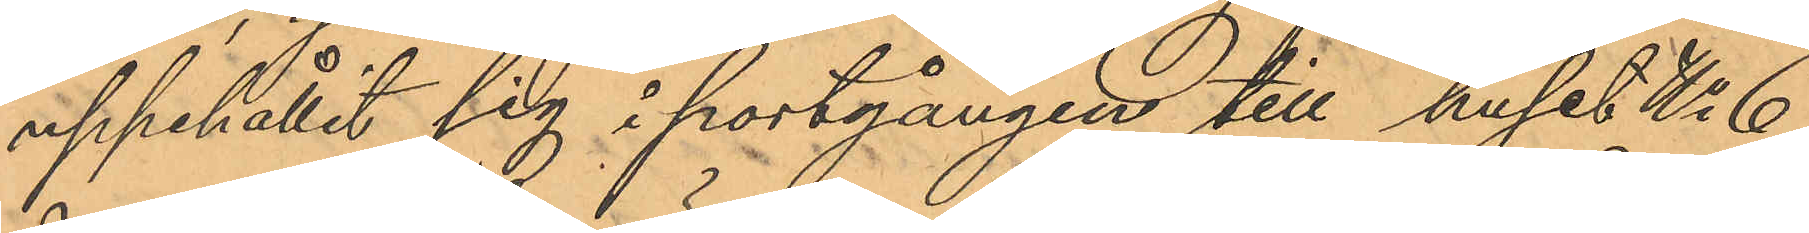uppehållit sig i portgången till huset No 6
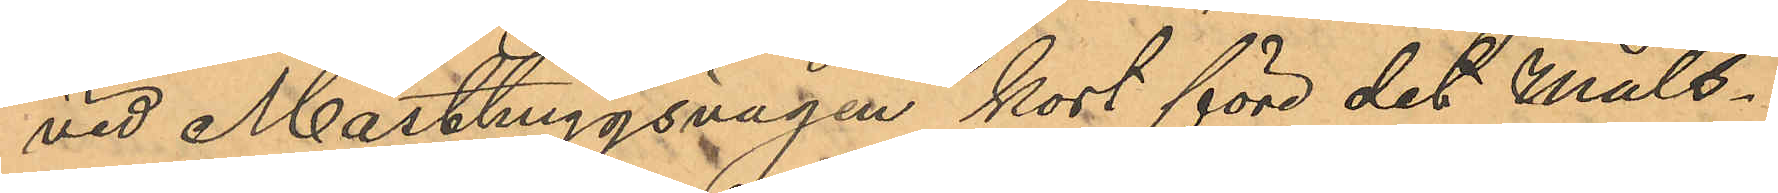vid Masthuggsvägen kort före det Måls¬
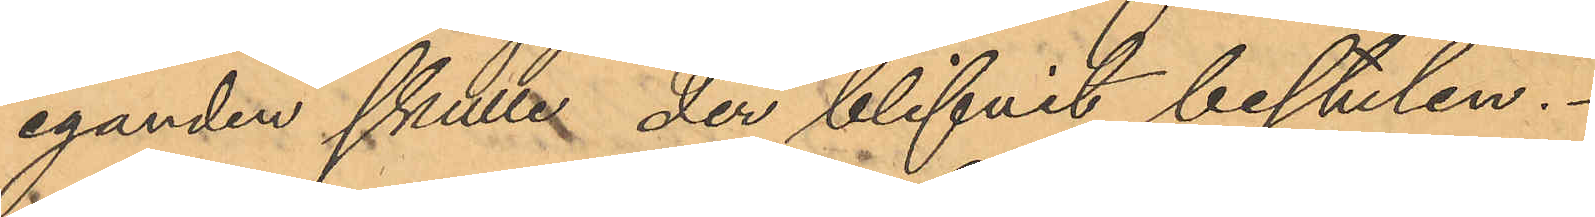eganden skulle der blifvit bestulen.
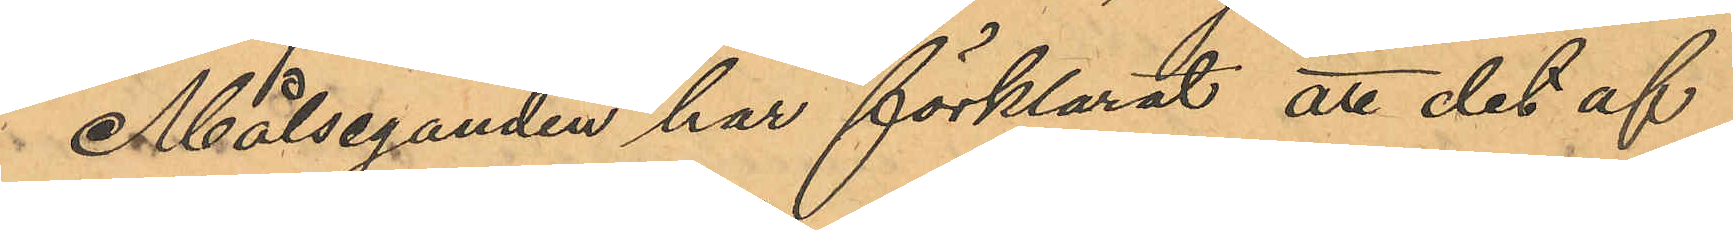Målseganden har förklarat, att det af
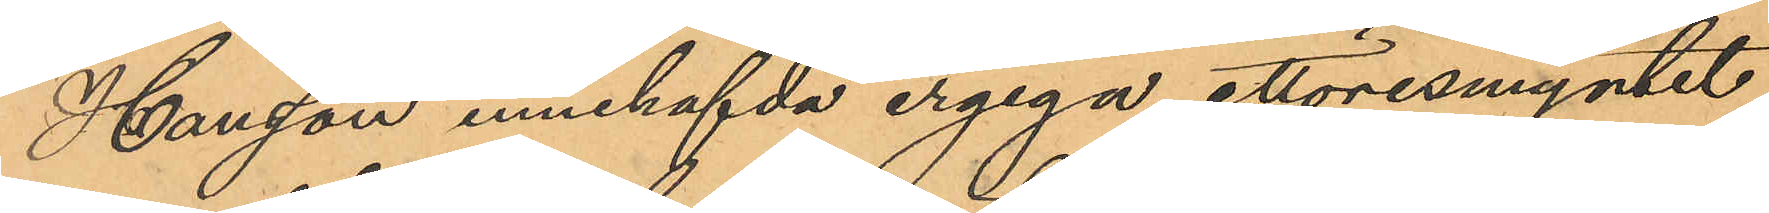Hansson innehafvda ergiga ettöresmyntet
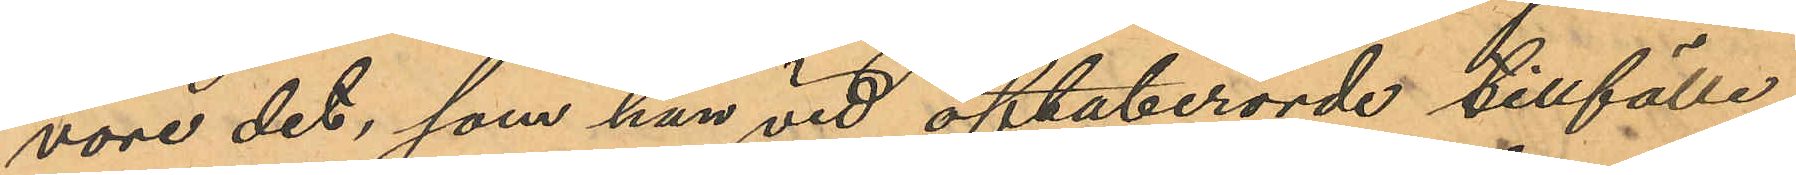vore det, som han vid oftaberörde tillfälle
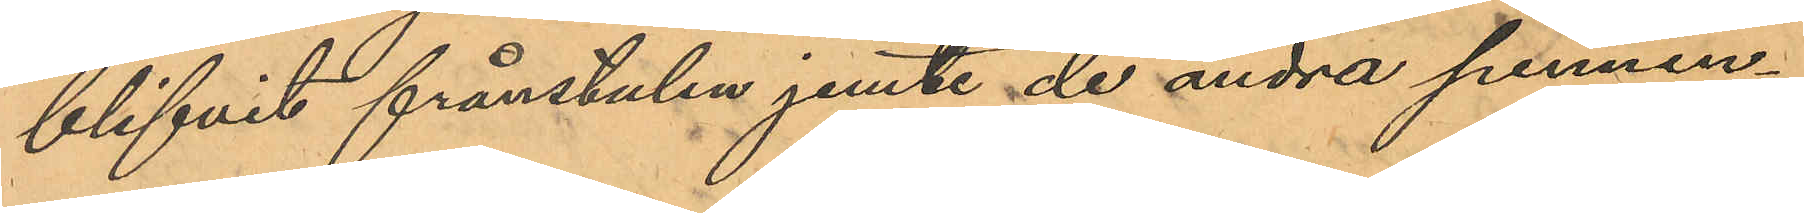blifvit frånstulen jemte de andra pennin¬
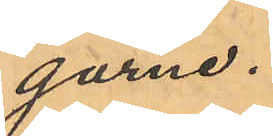garne.
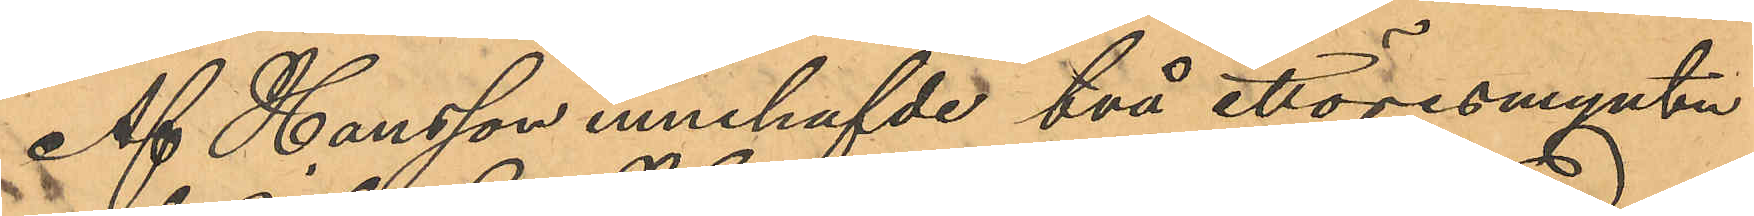Af Hansson innehafvde två ettöresmynten
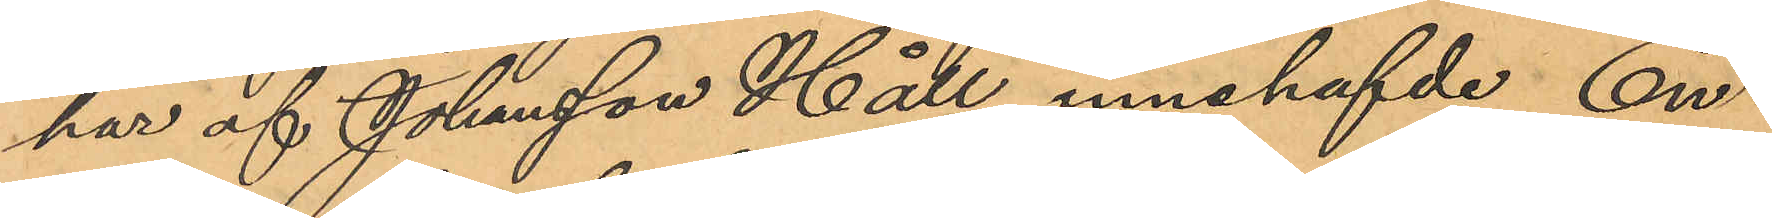har af Johansson Håll innehafvde En¬
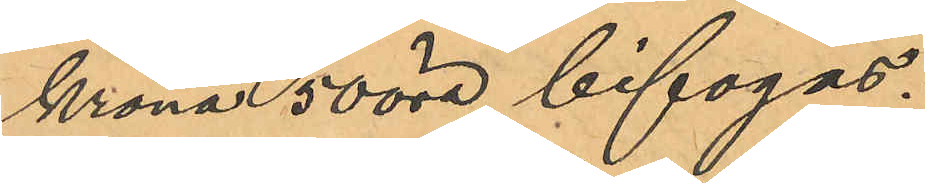krona 50 öre bifogas.
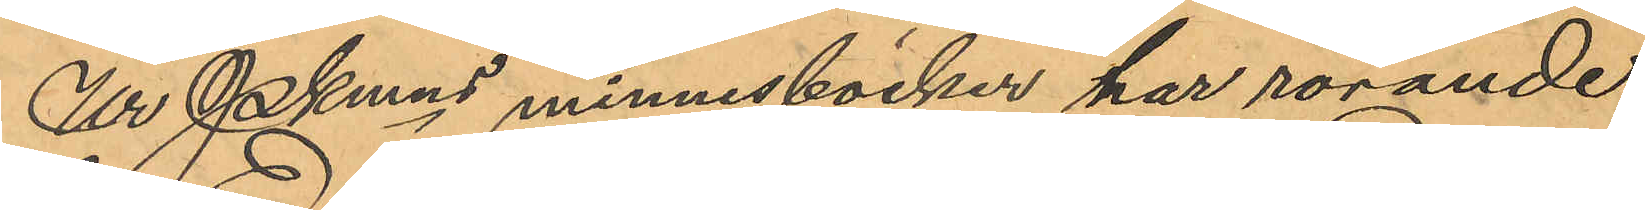Ur Pkmns minnesböcker har rörande
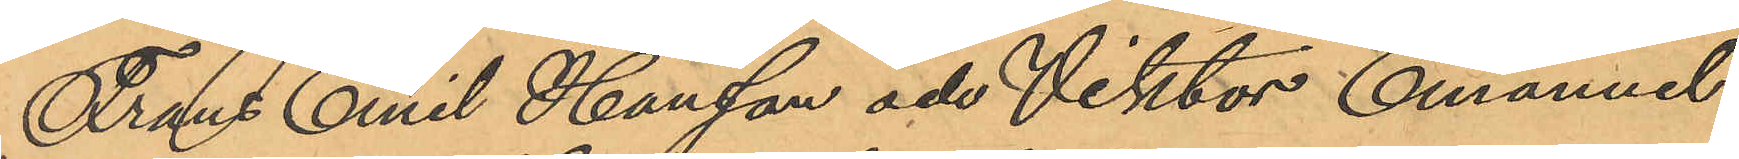Frans Emil Hansson och Viktor Emanuel
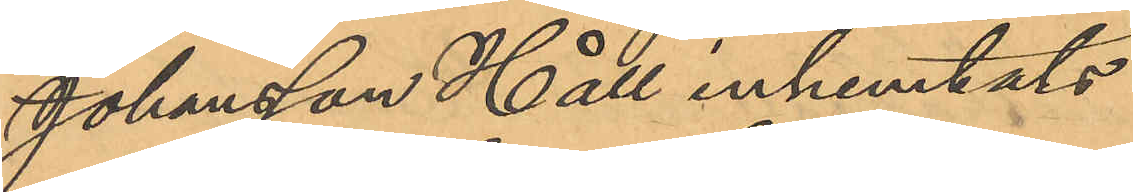Johansson Håll inhemtats
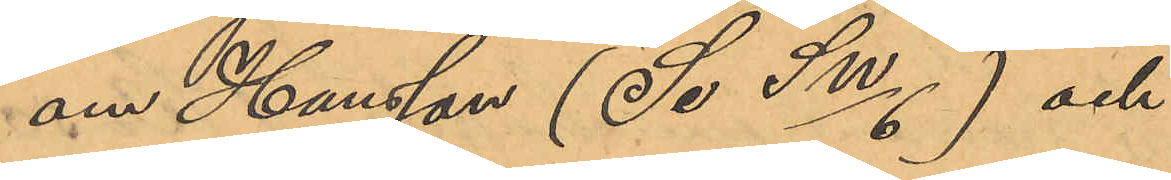om Hansson (Se SW/6) och
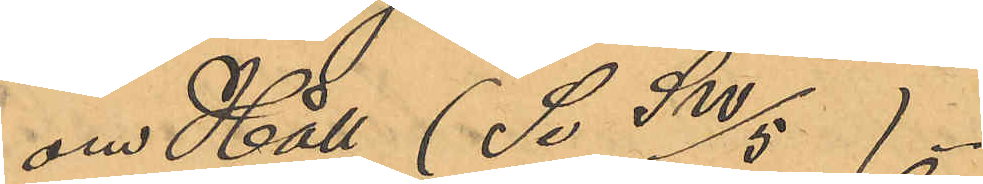om Håll (Se SW/5).
